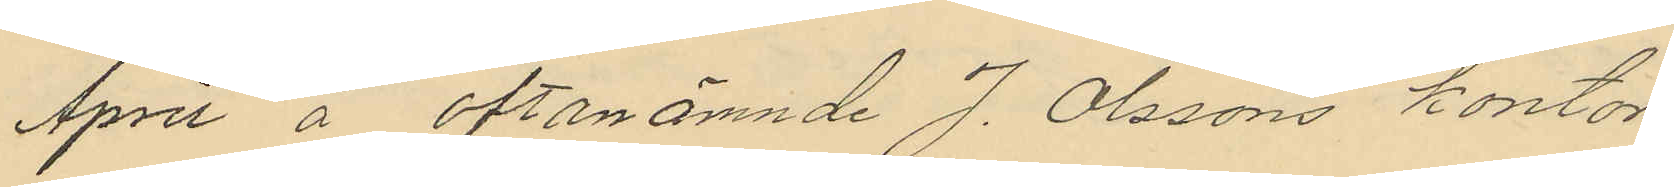April å oftanämnde J. Olssons kontor;
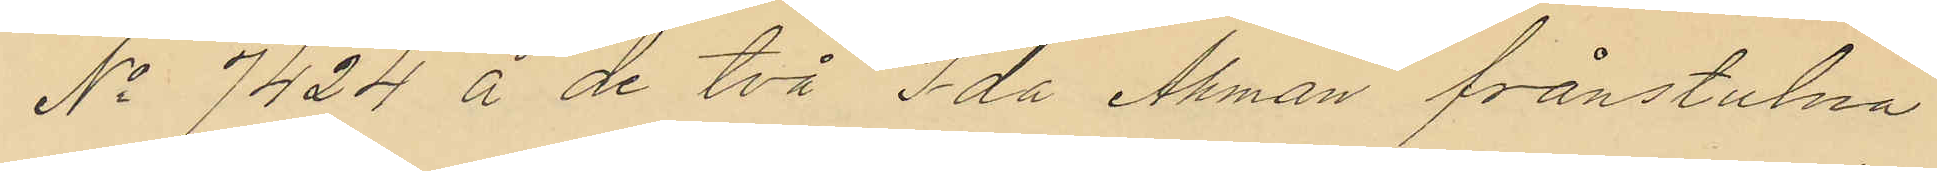No 7424 å de två Ida Åhman frånstulna
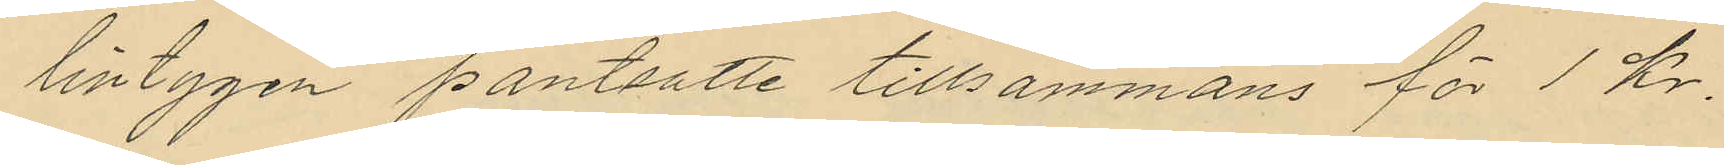lintygen pantsatte tillsammans för 1 kr.
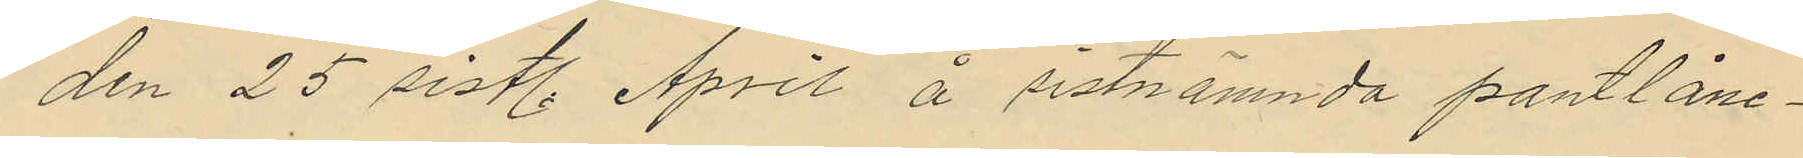den 25 sistl. April å sistnämnda pantlåne¬
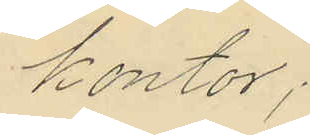kontor;
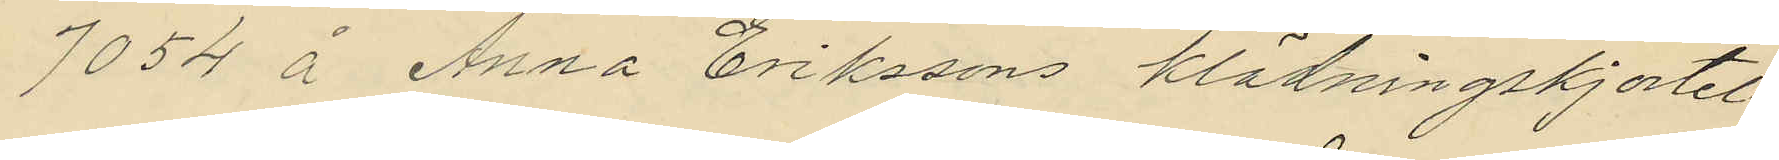7054 å Anna Erikssons klädningskjortel
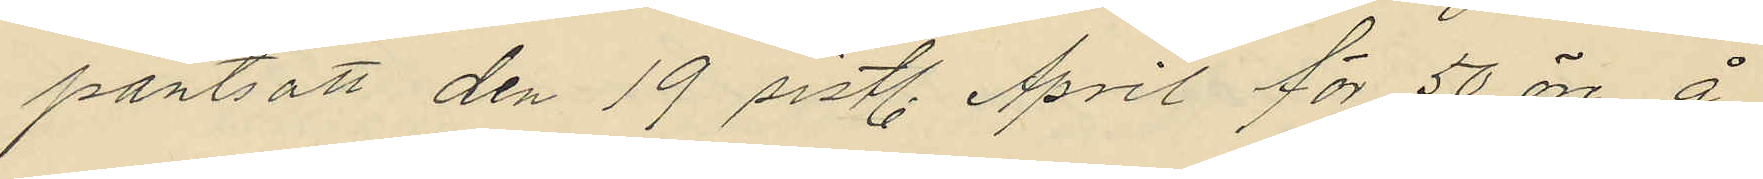pantsatt den 19 sistl. April för 50 öre å
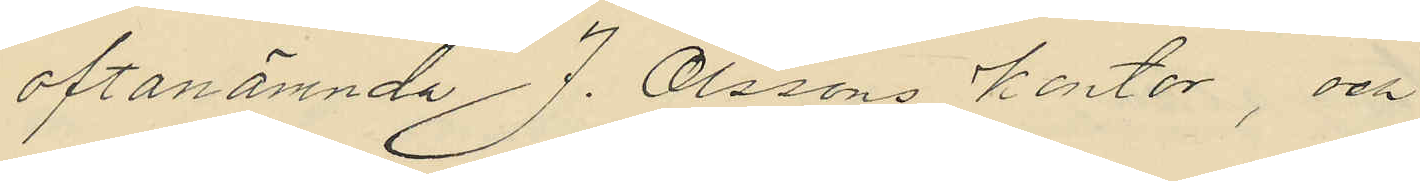oftanämnda J. Olssons kontor, och
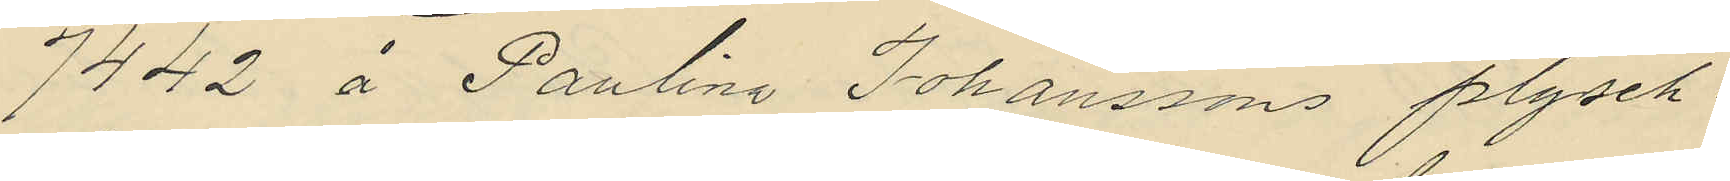7442 å Paulina Johanssons plysch¬
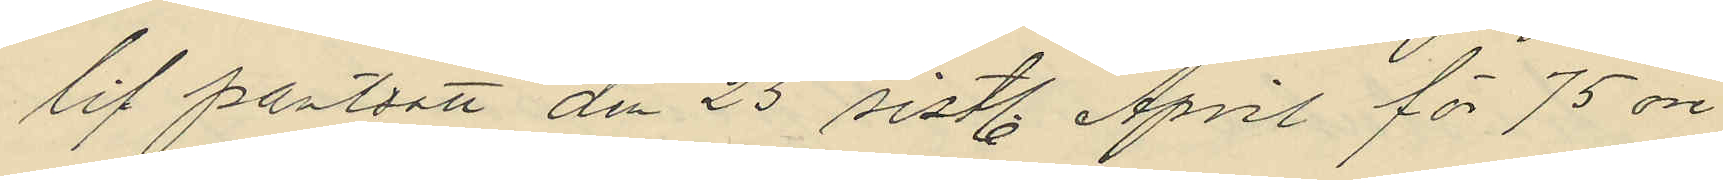lif pantsatt den 25 sistl. April för 75 öre
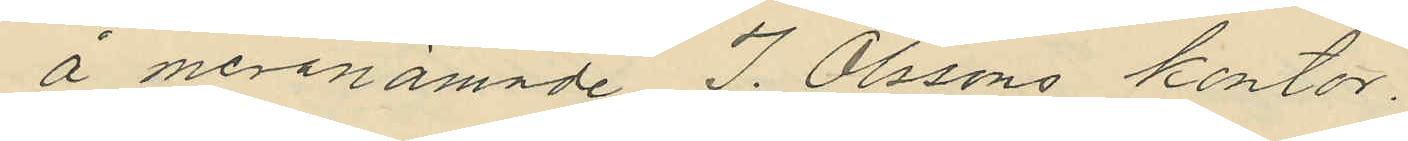å meranämnde J. Olssons kontor.
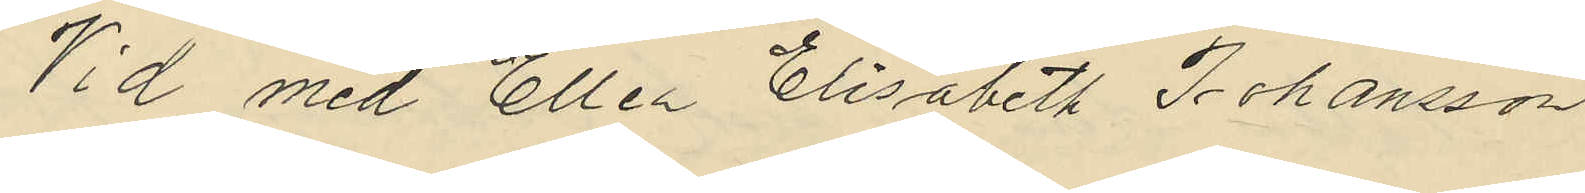Vid med Ellen Elisabeth Johansson
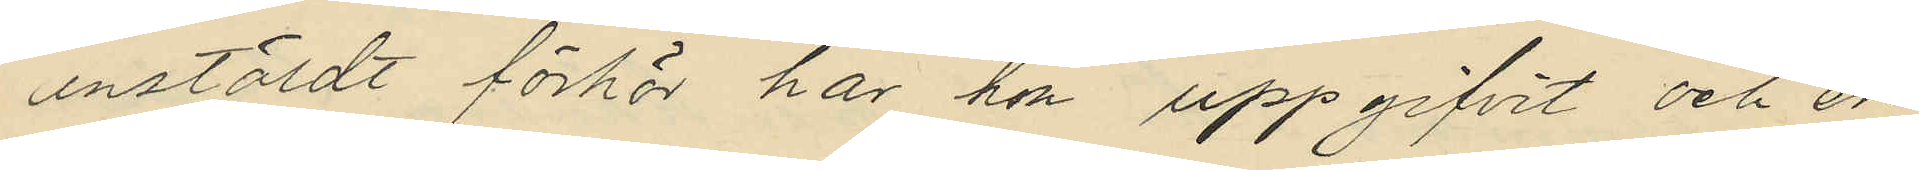anstäldt förhör har hon uppgifvit och er¬
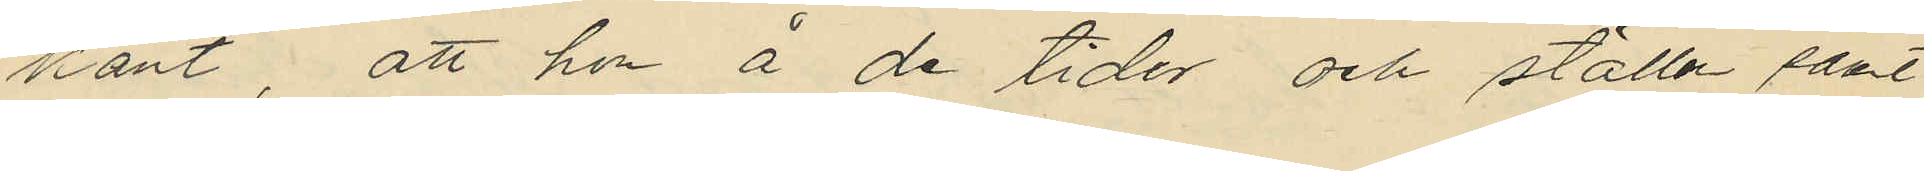känt, att hon å de tider och ställen samt
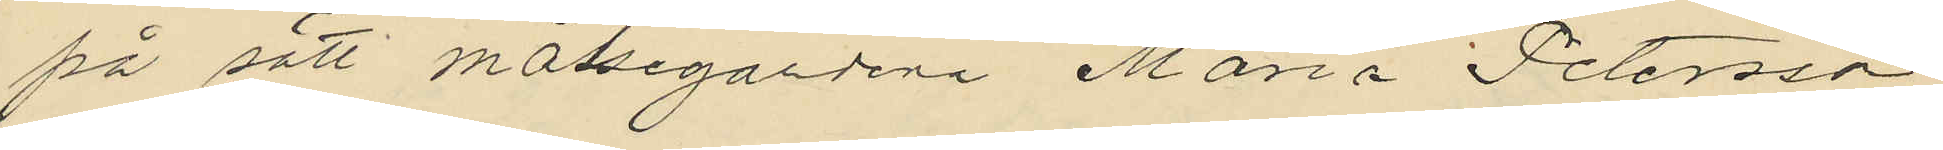på sätt målsegardena Maria Petersson
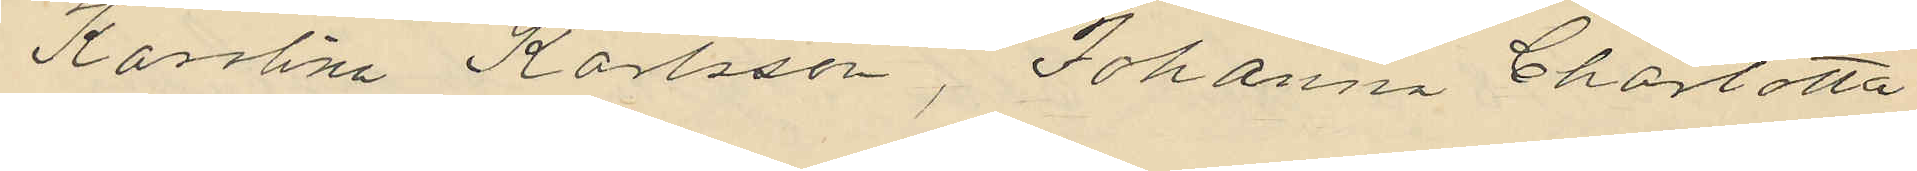Karolina Karlsson, Johanna Charlotta
